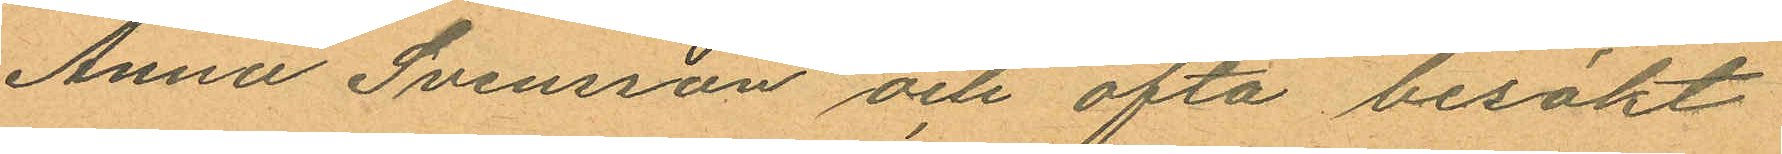Anna Svensson och ofta besökt
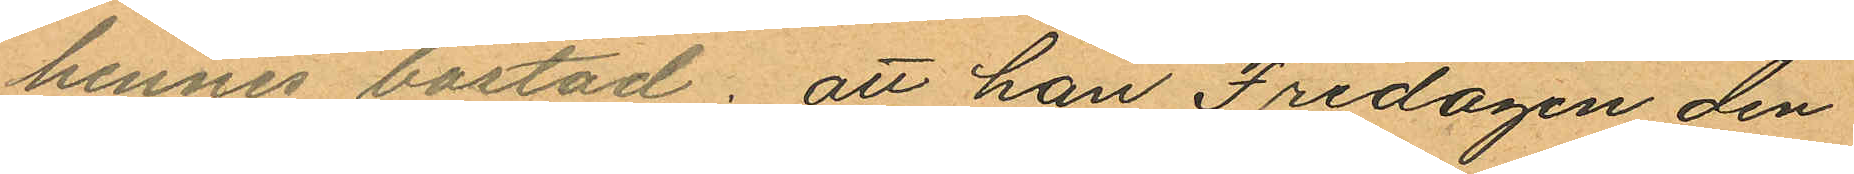hennes bostad; att han Fredagen den
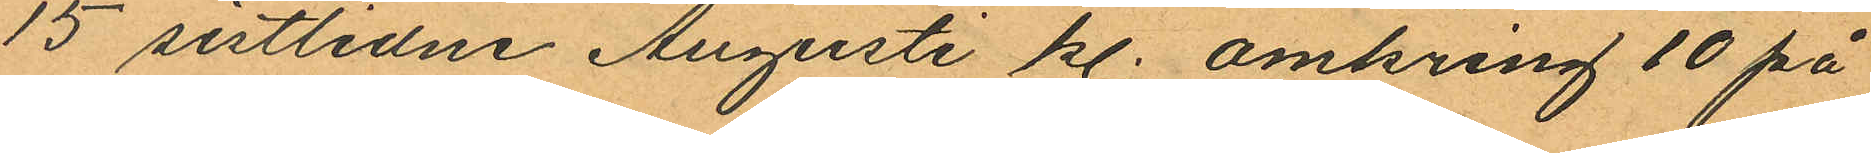15 sistlidne Augusti kl. omkring 10 på
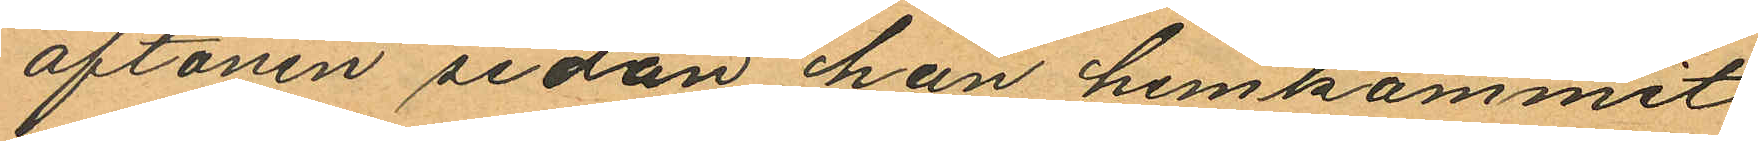aftonen sedan han hemkommit
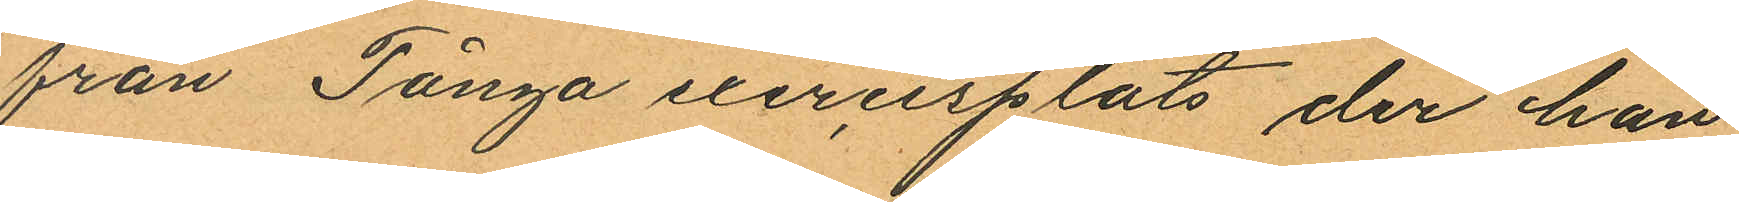från Tånga exercisplats, der han
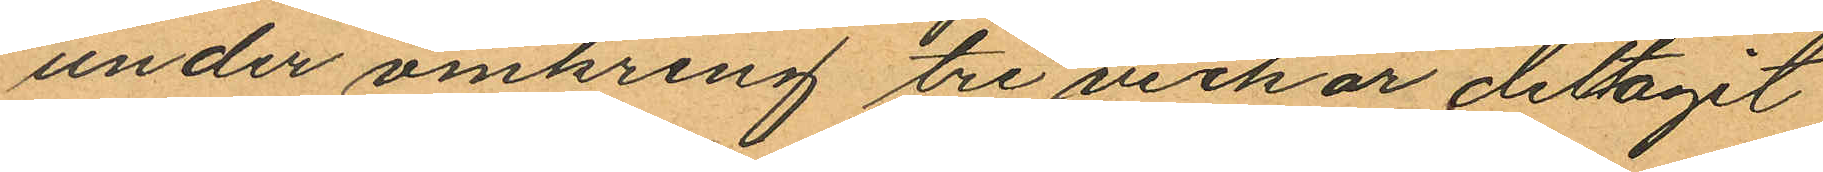under omkring tre veckor deltagit
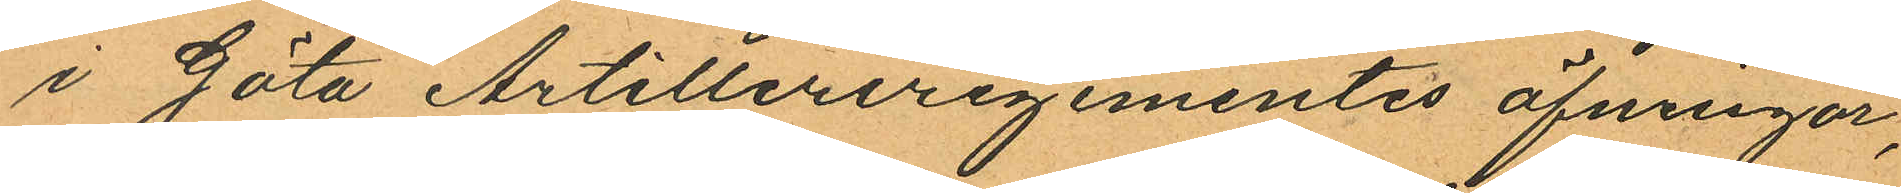i Göta Artilleriregementes öfningar,
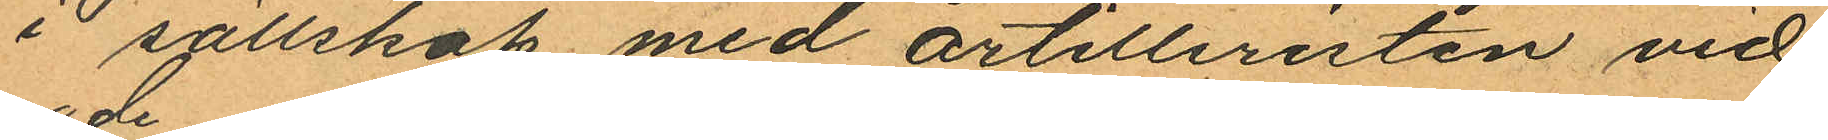i sällskap med artilleristen vid
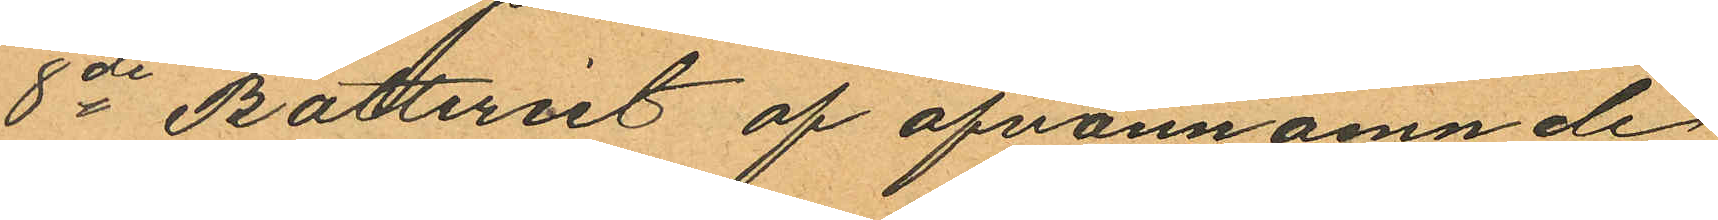8de Batteriet af ofvannämnde
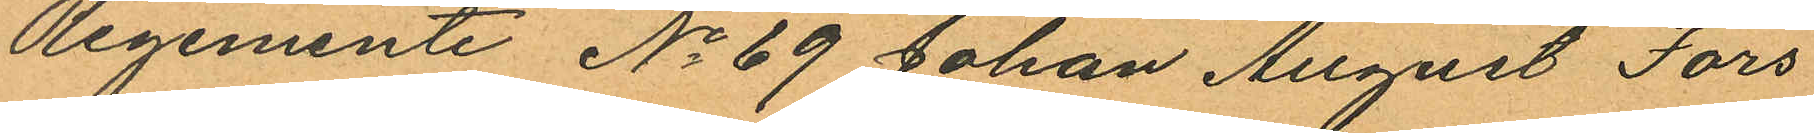Regemente No 69 Johan August Fors
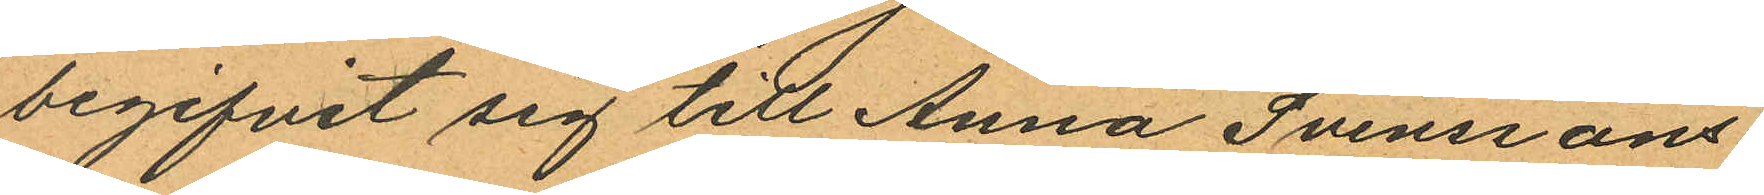begifvit sig till Anna Svenssons
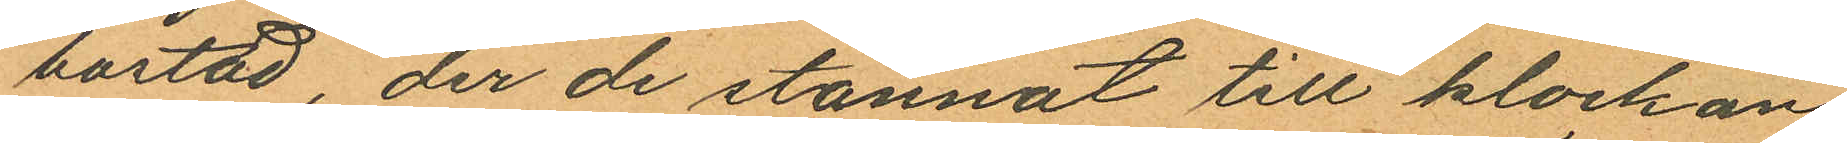bostad, der de stannat till klockan
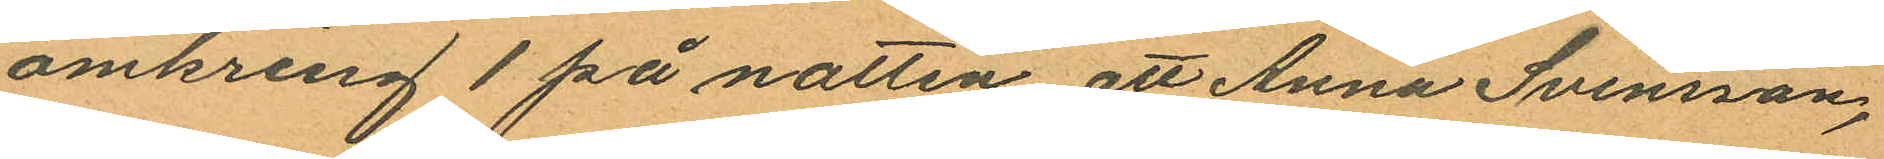omkring 1 på natten att Anna Svensson,
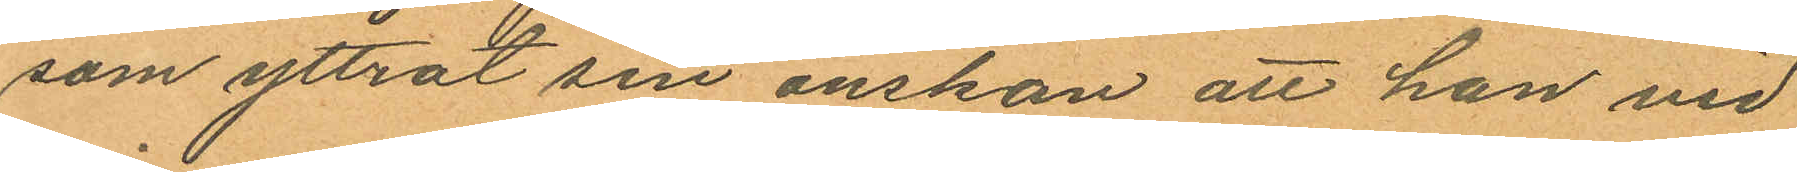som yttrat sin önskan att han vid
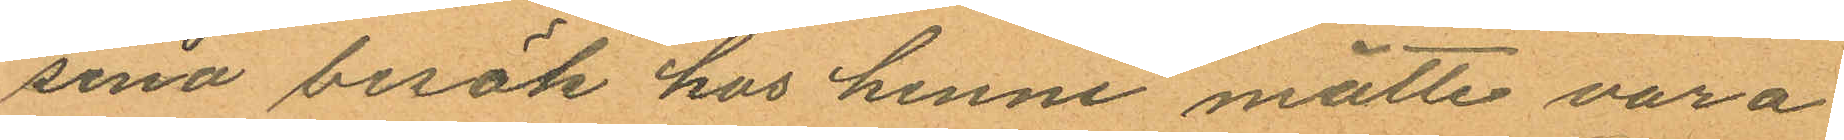sina besök hos henne måtte vara
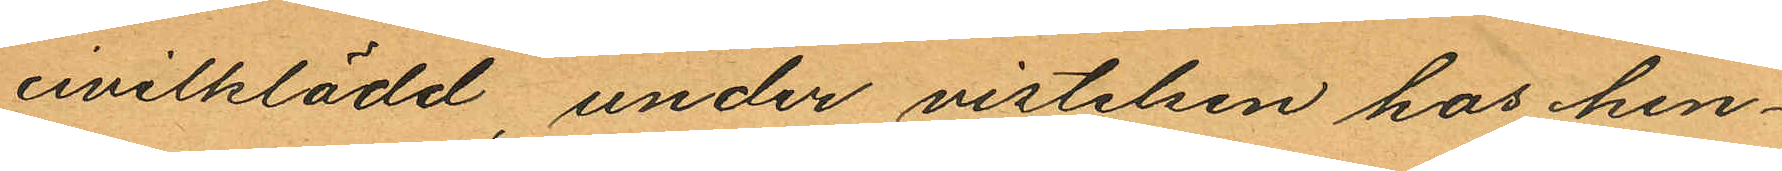civilklädd, under vistelsen hos hen¬
